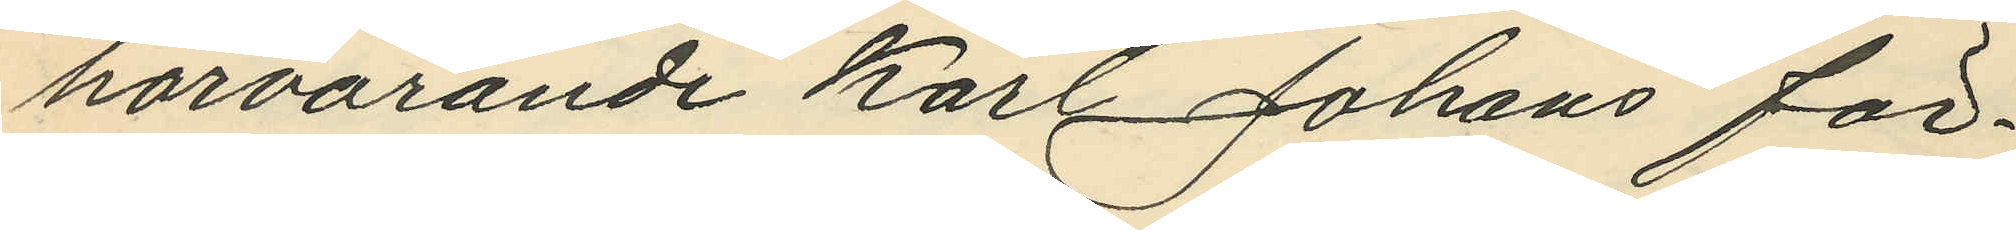härvarande Karl Johans för¬
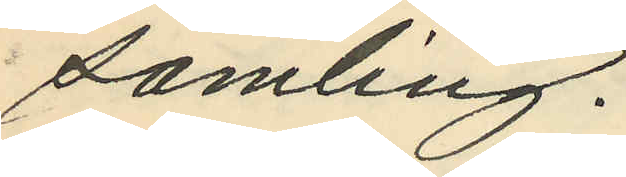samling.
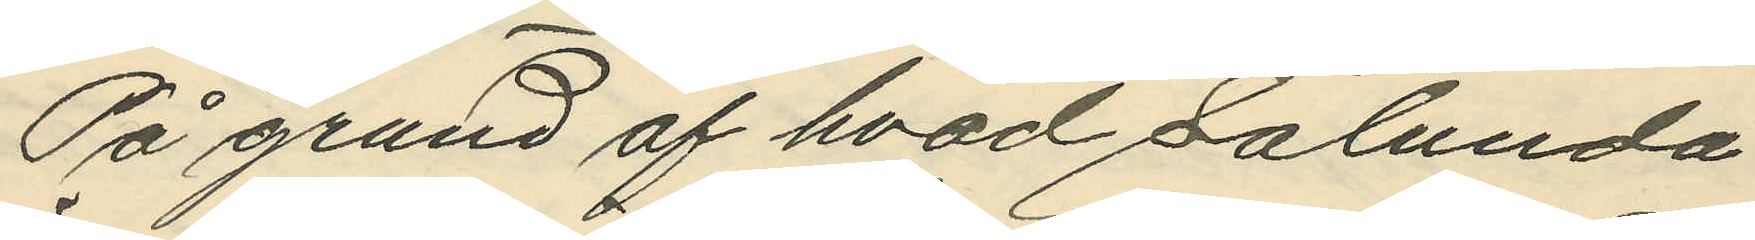På grund af hvad sålunda
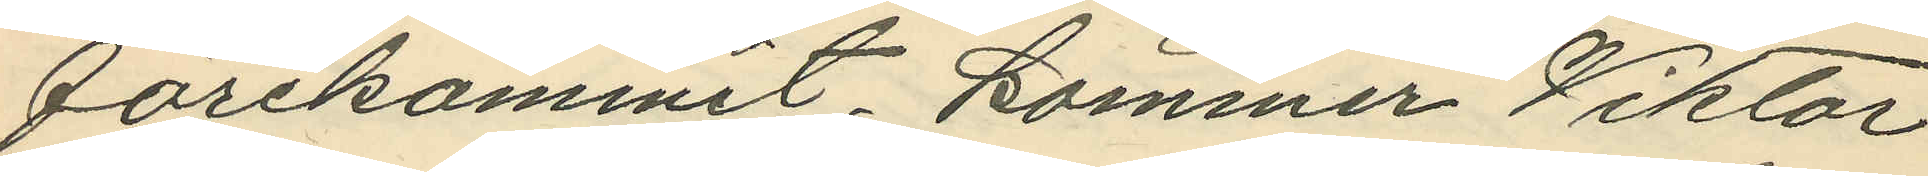förekommit, kommer Viktor
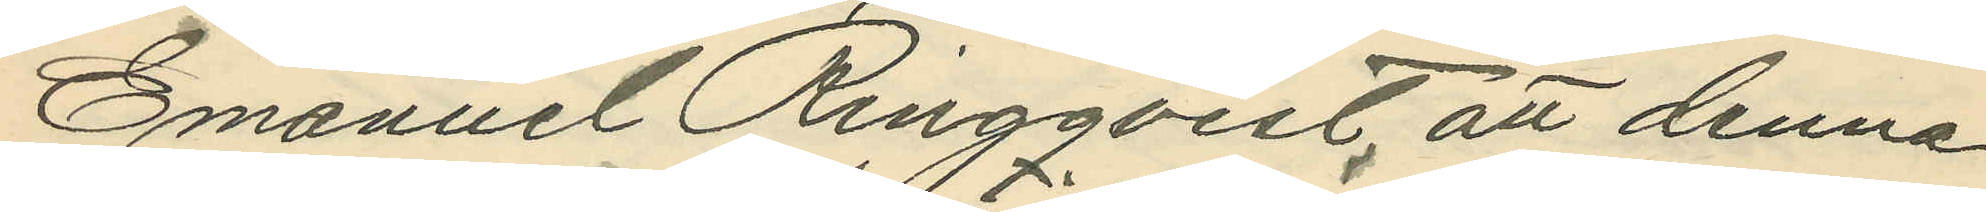Emanuel Ringqvist, att denna
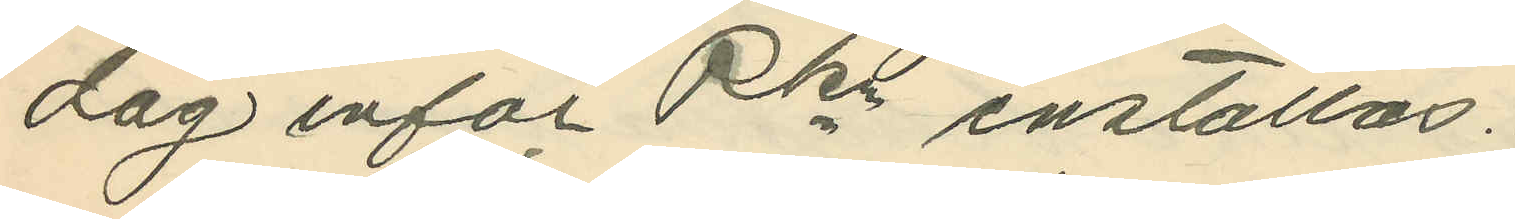dag inför Pkn inställas.
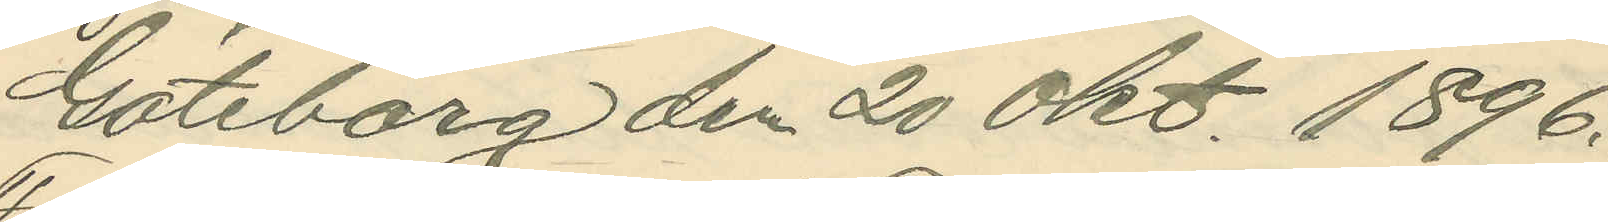Göteborg den 20 Okt. 1896.
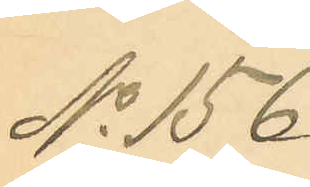No 156.
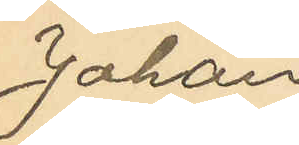Johan
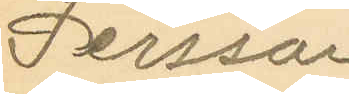Persson
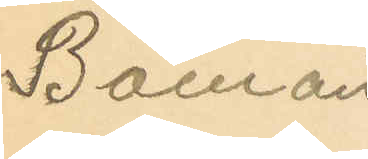Boman
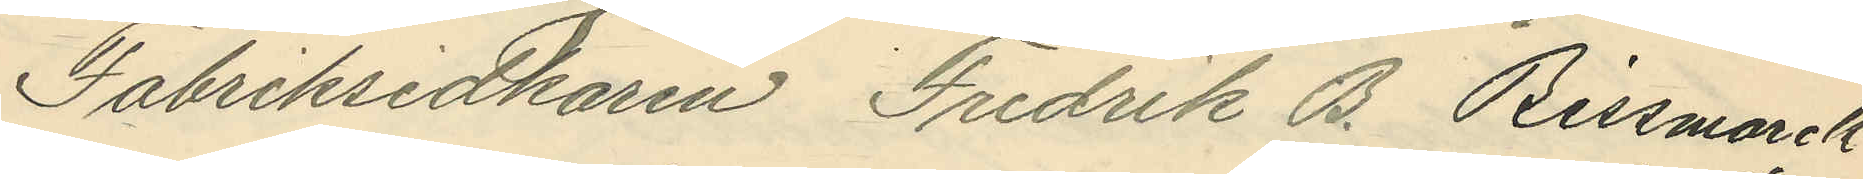Fabriksidkaren Fredrik B. Bissmarck
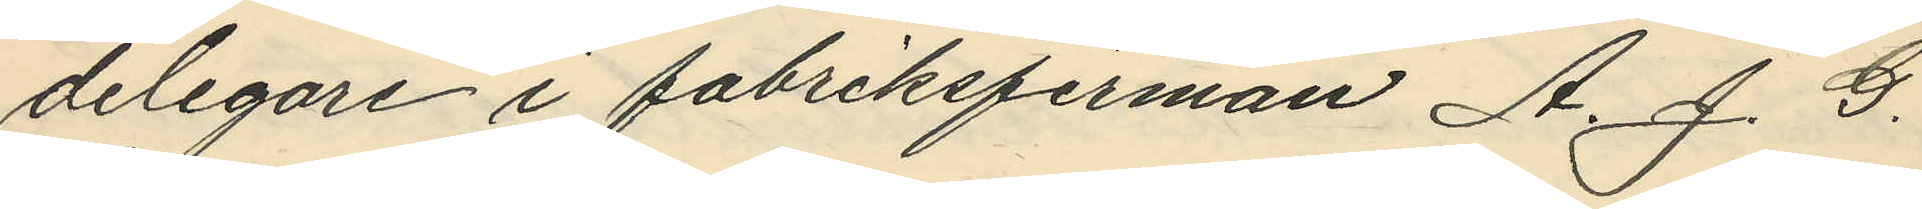delegare i fabriksfirman A. J. G.
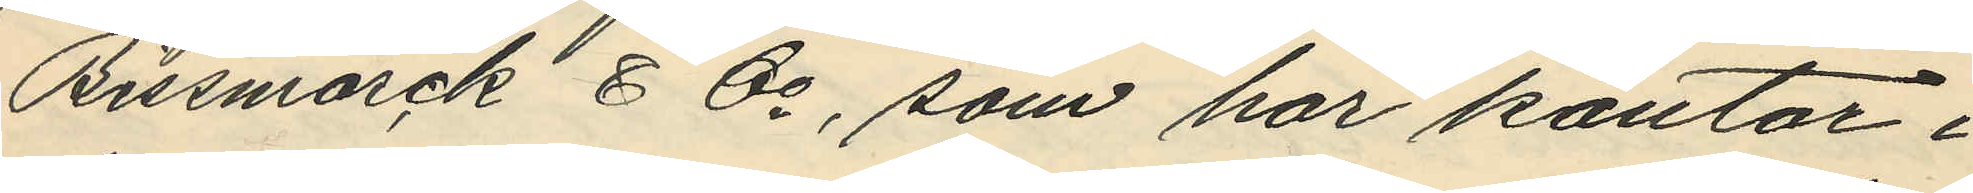Bissmarck & Co, som har kontor i
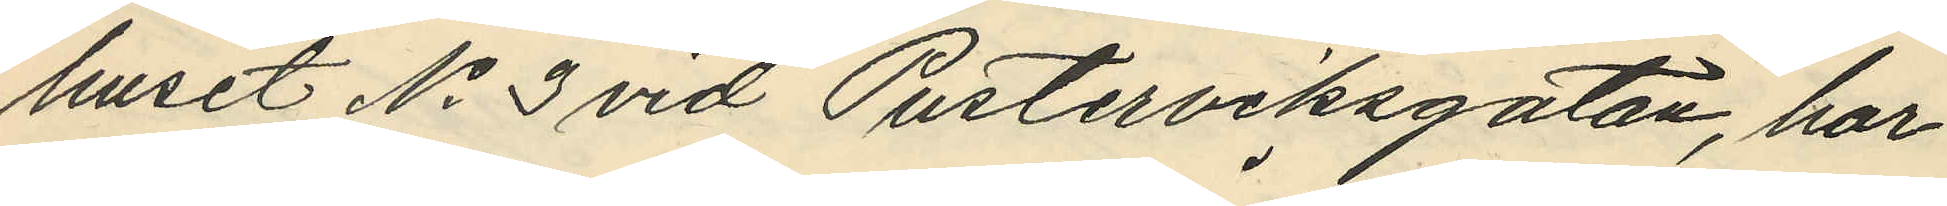huset No 3 vid Pusterviksgatan, har
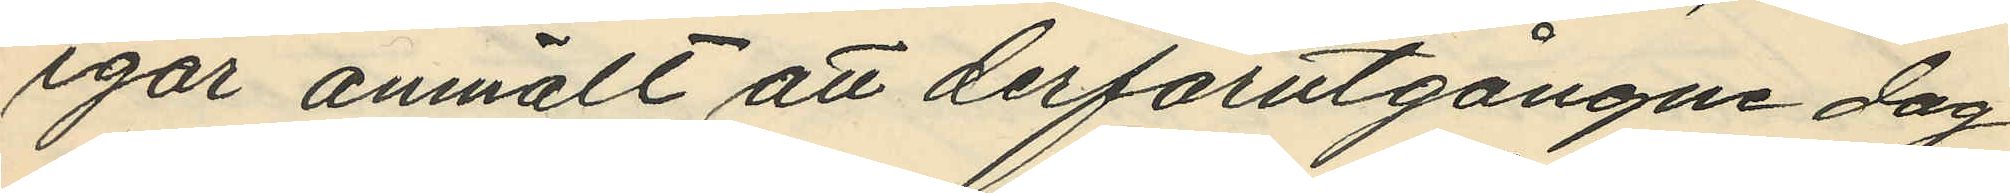igår anmält att derförutgångne dag
